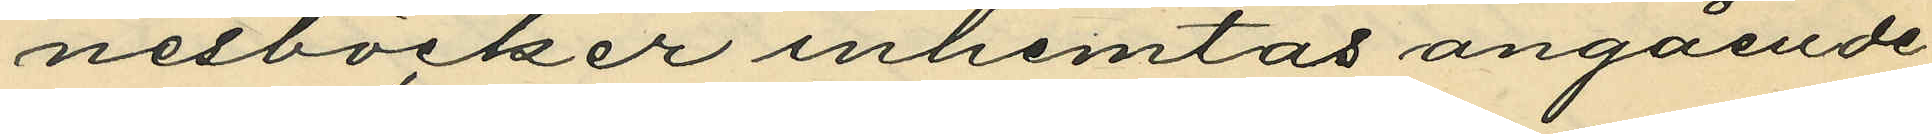nesböcker inhemtas angående
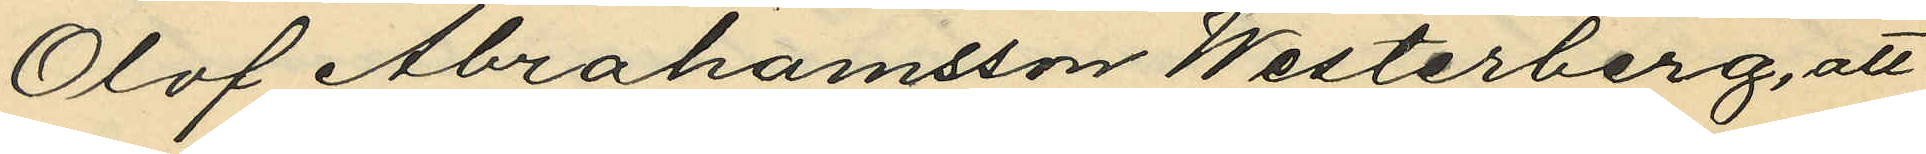Olof Abrahamsson Westerberg, att
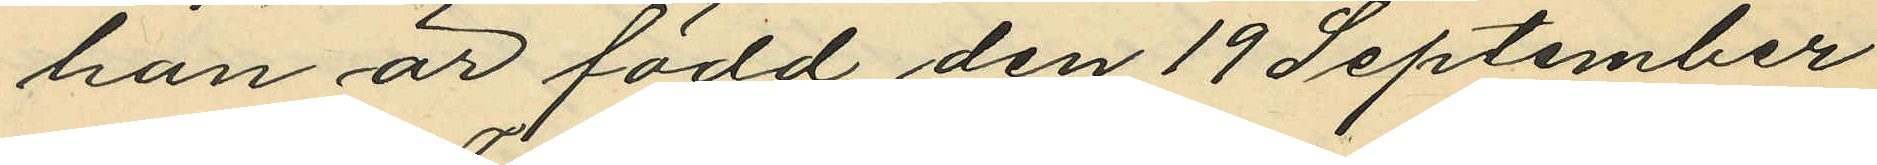han är född den 19 September
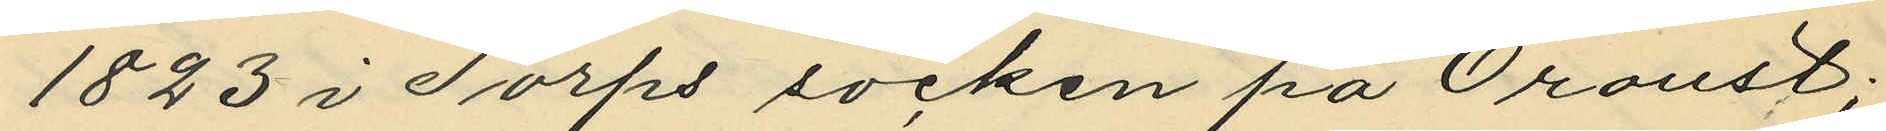1823 i Torps socken på Oroust;
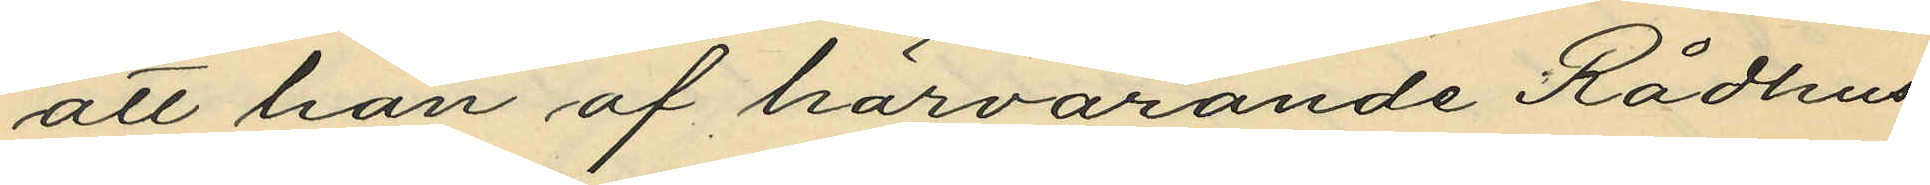att han af härvarande Rådhus¬
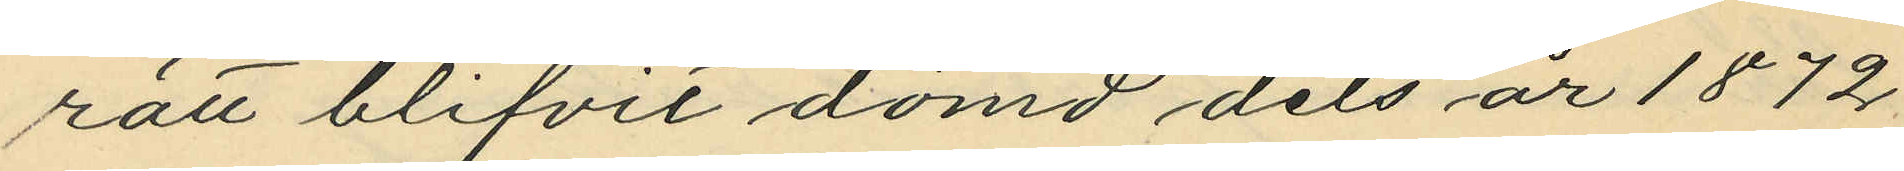rätt blifvit dömd, dels år 1872
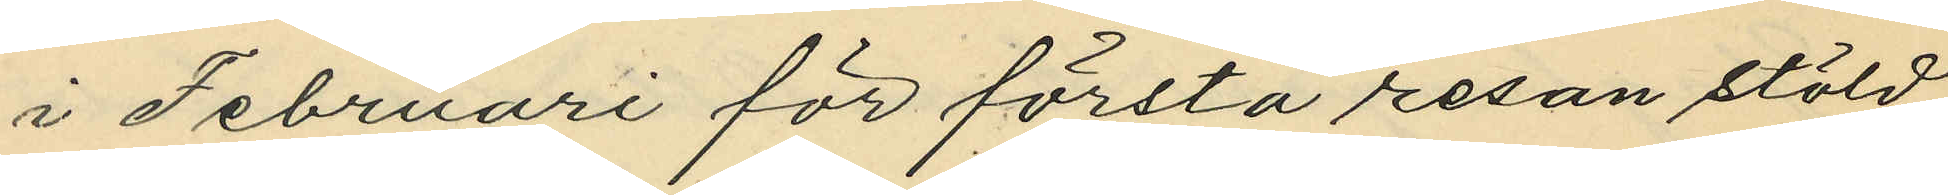i Februari för första resan stöld
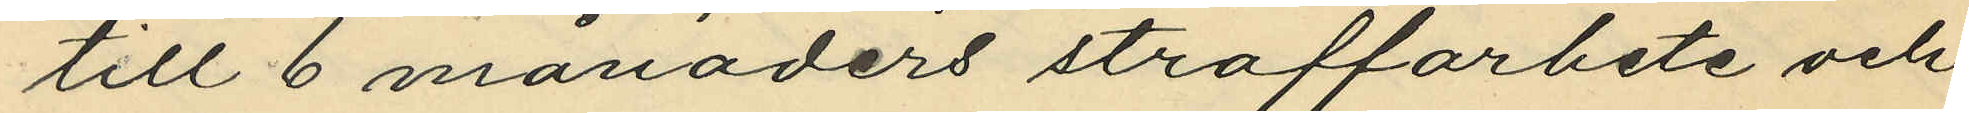till 6 månaders straffarbete och
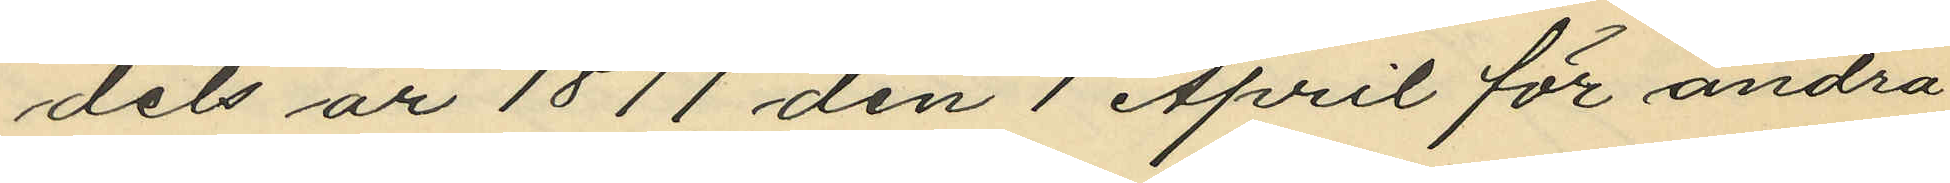dels år 1877 den 1 April för andra
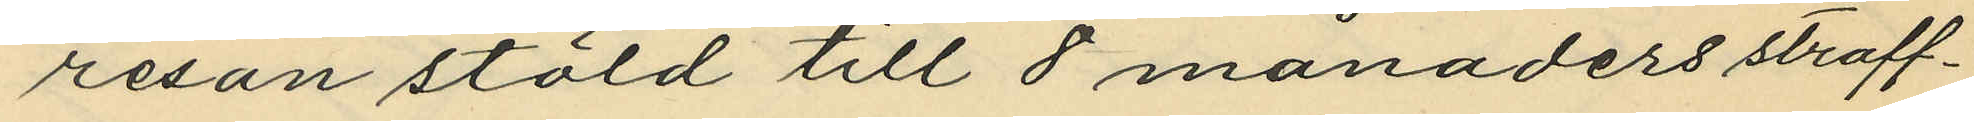resan stöld till 8 månaders straff¬
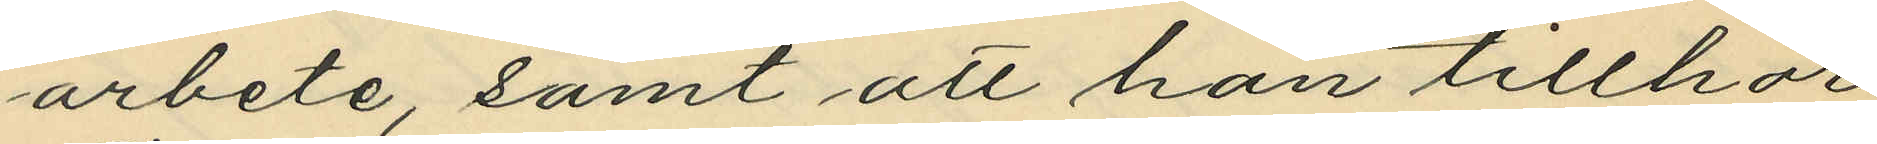arbete, samt att han tillhör
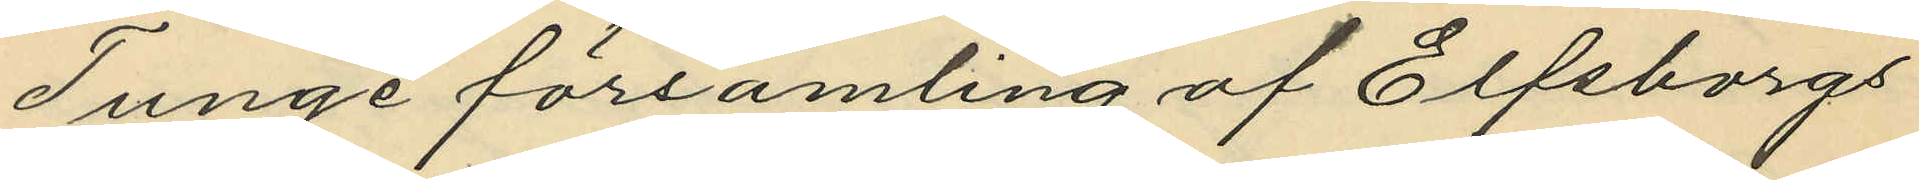Tunge församling af Elfsborgs
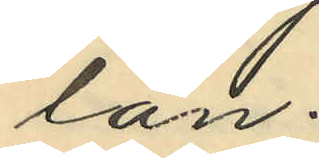län.
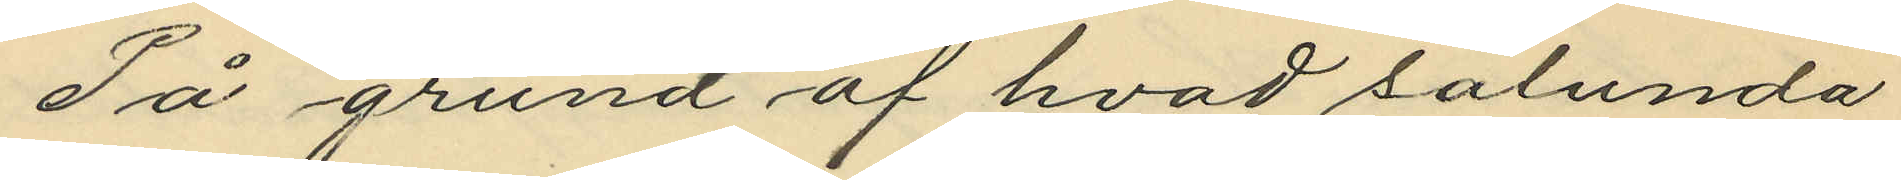På grund af hvad sålunda
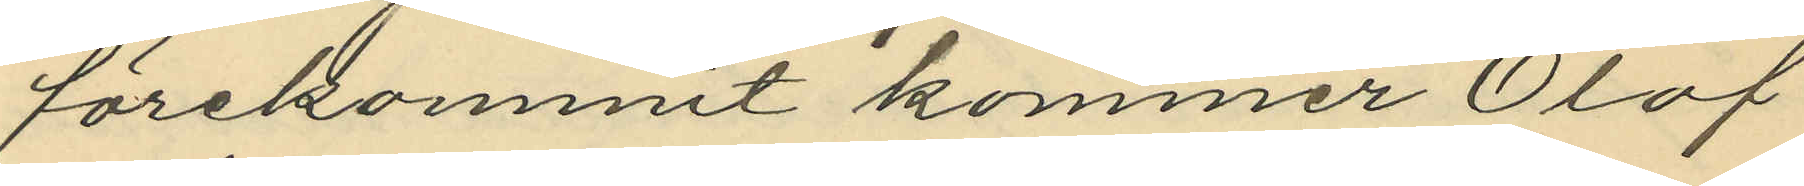förekommit kommer Olof
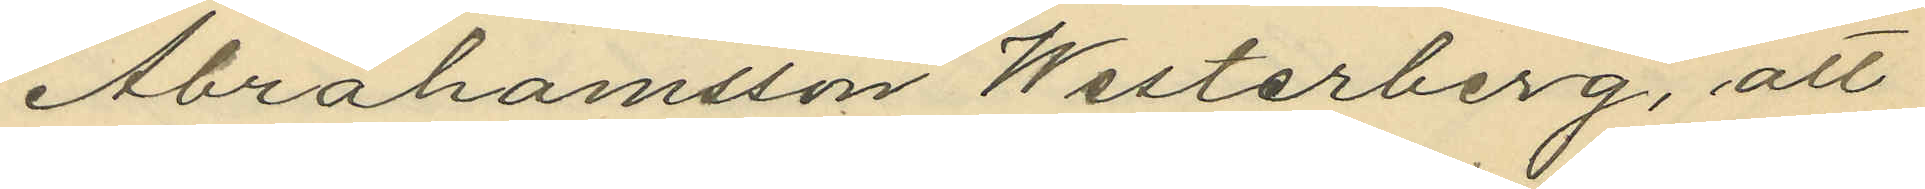Abrahamsson Westerberg, att
